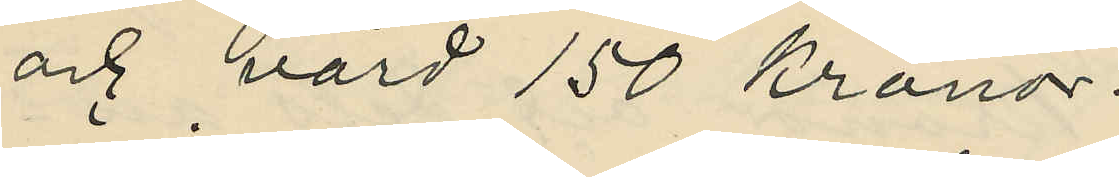och värd 150 kronor.
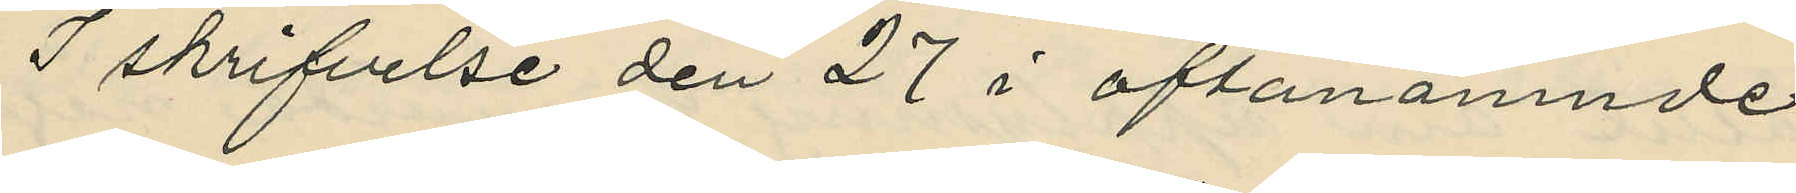I skrifvelse den 27 i oftanämnde
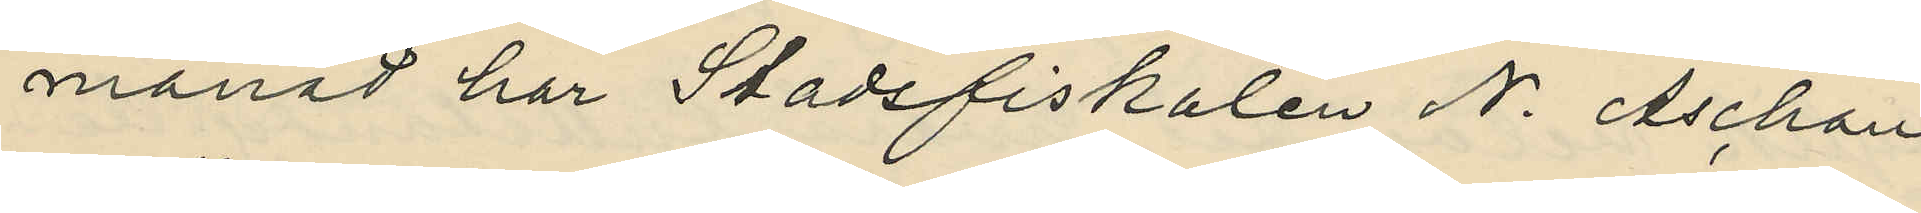månad har Stadsfiskalen N. Aschan
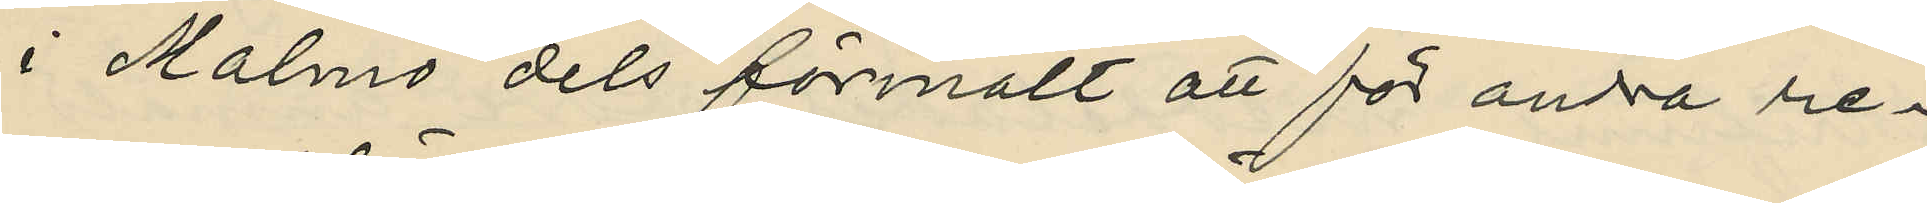i Malmö dels förmält att för andra re¬
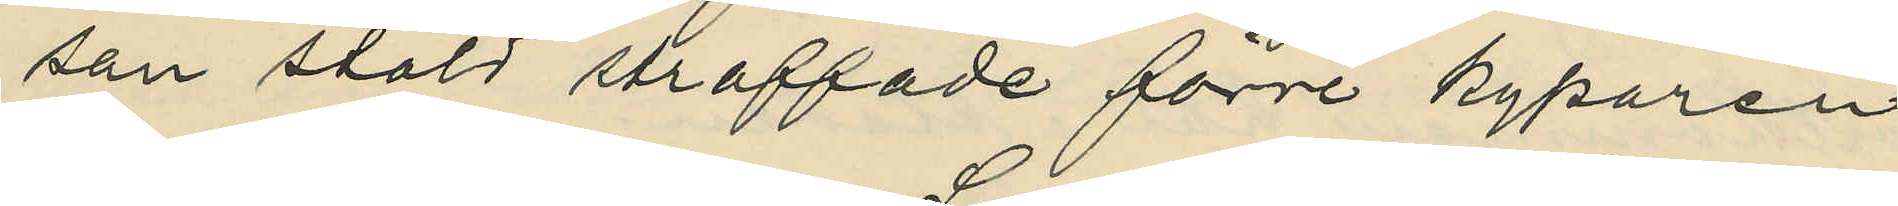san stöld straffade förre kyparen
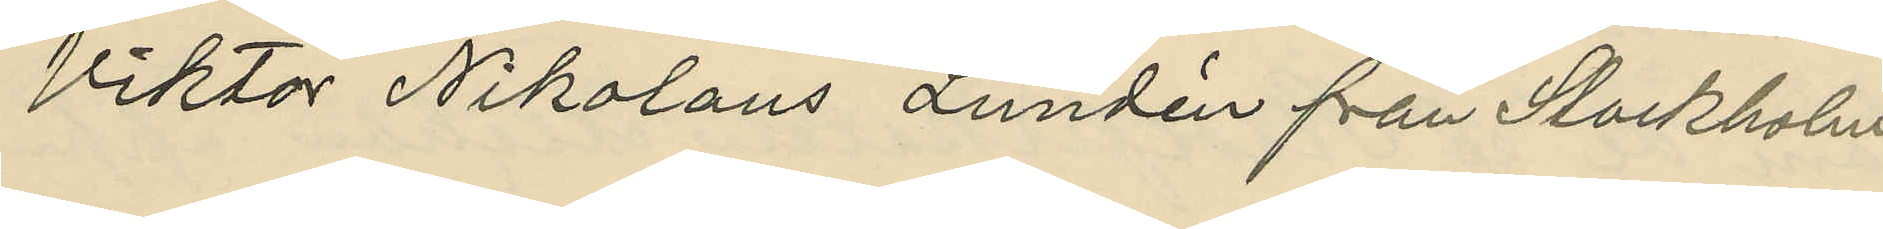Viktor Nikolaus Lundén från Stockholm 
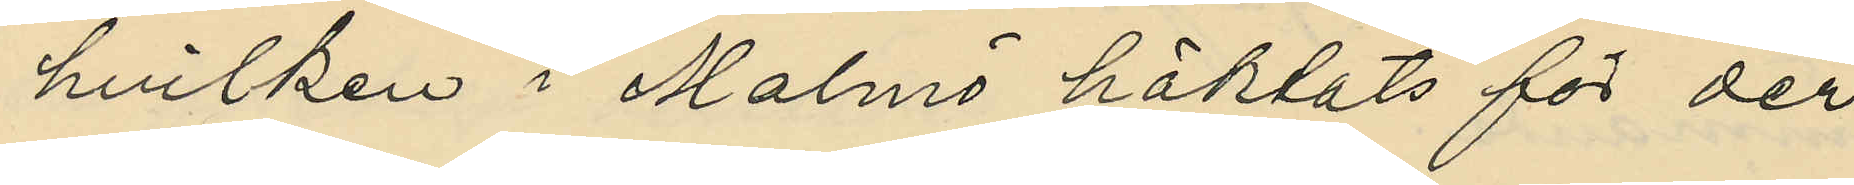hvilken i Malmö häktats för der
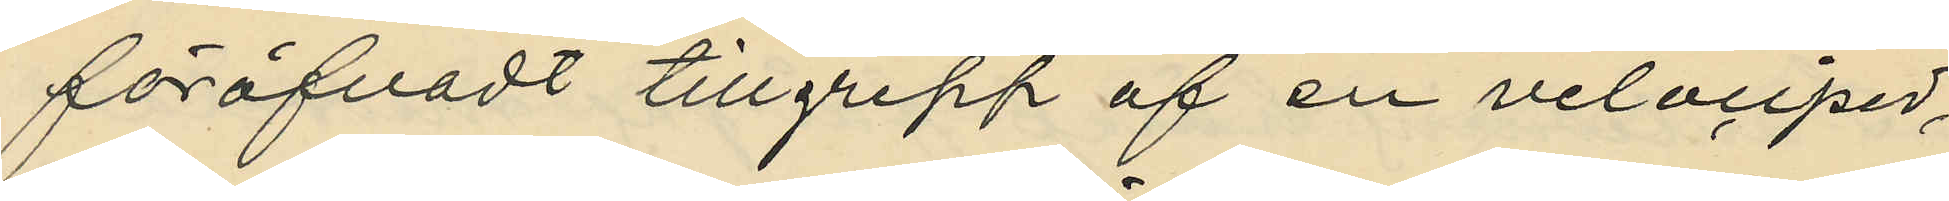föröfvadt tillgrepp af en velociped,
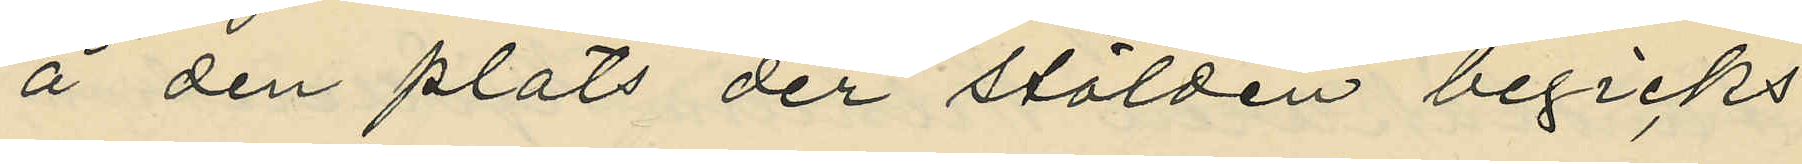å den plats der stölden begicks,
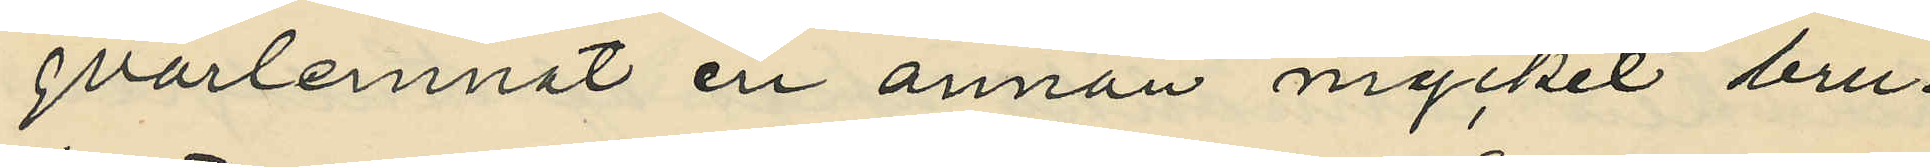qvarlemnat en annan mycket bru¬
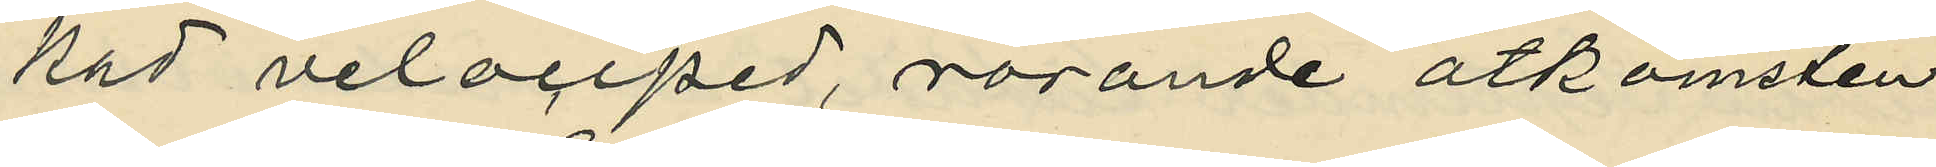kad velociped, rörande åtkomsten
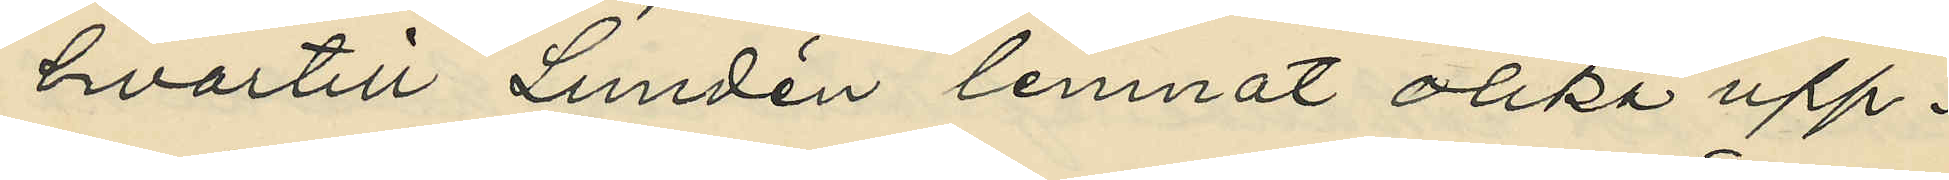hvartill Lundén lemnat olika upp¬
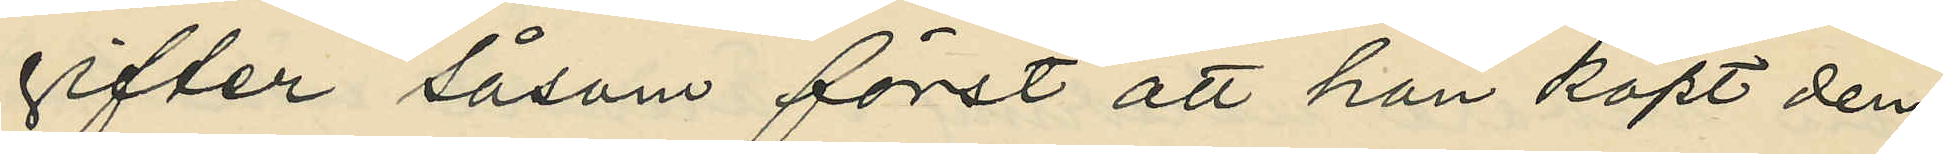gifter såsom först att han köpt den¬
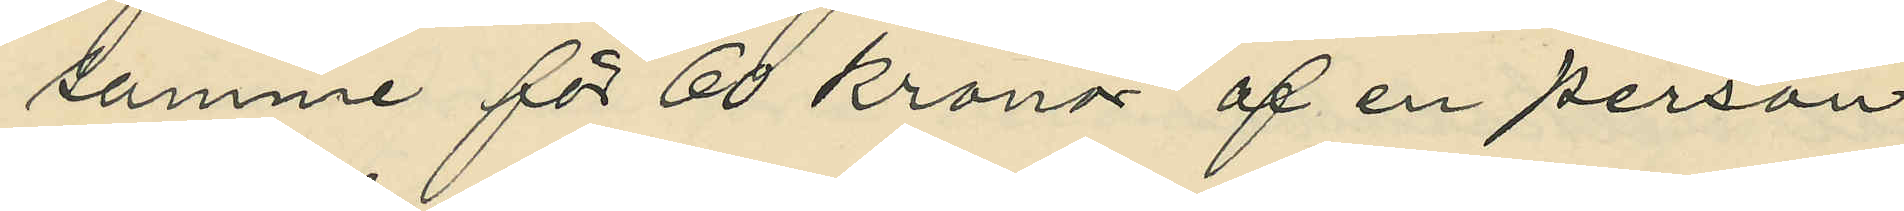samme för 60 kronor af en person
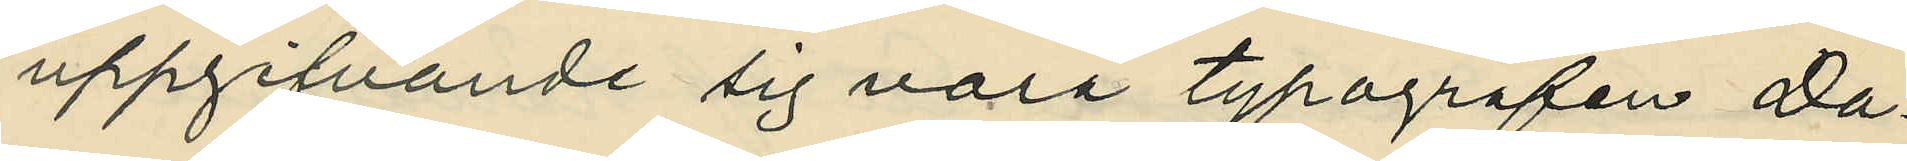uppgifvande sig vara typografen Da¬
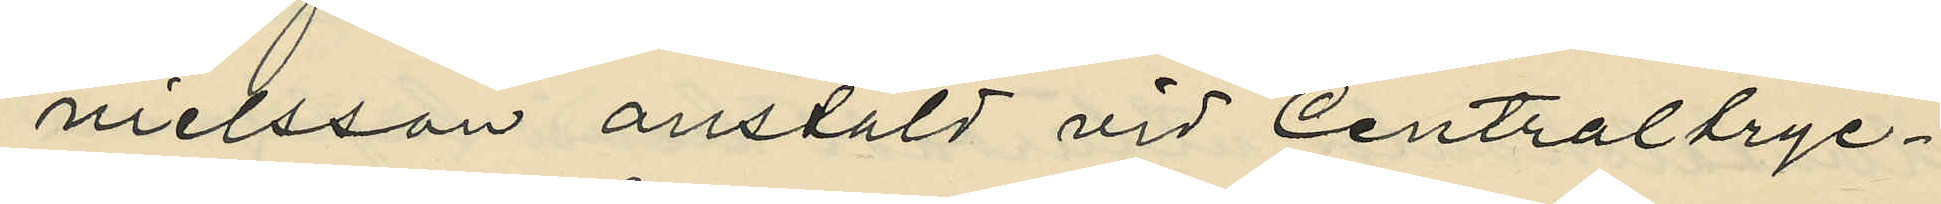nielsson anstäld vid Centraltryc¬
